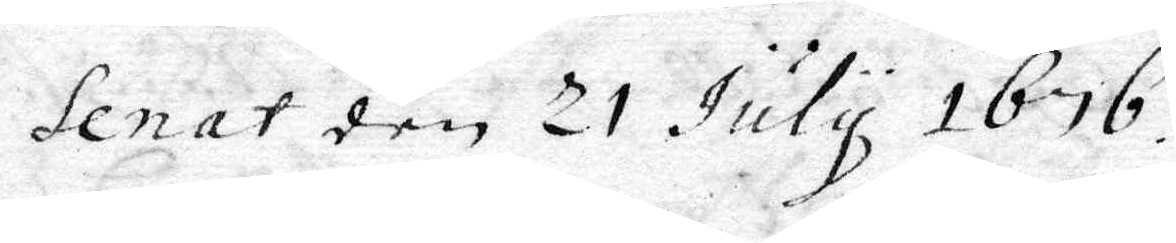Senat den 21 July 1676.
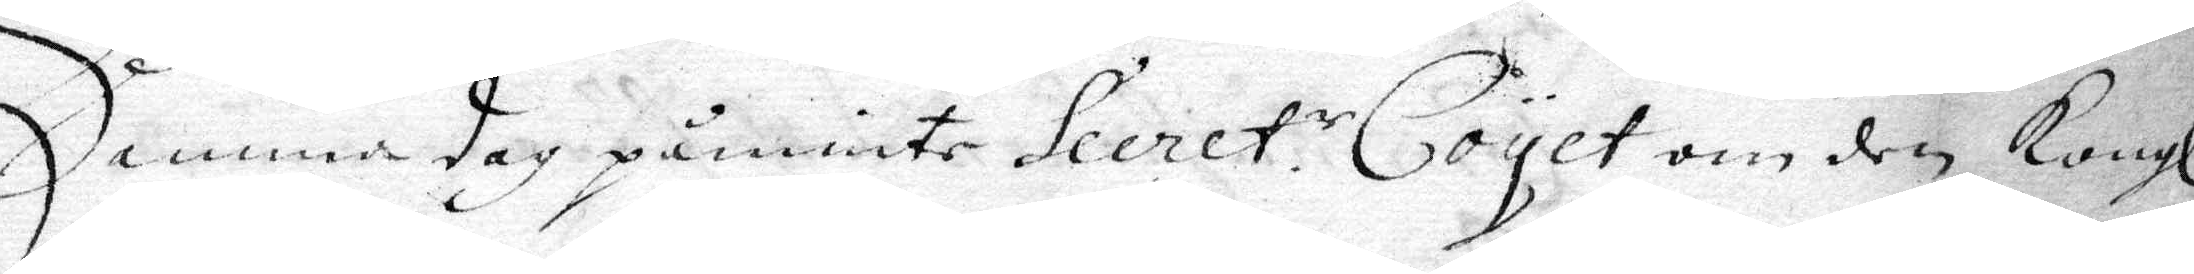Denna dag påminte Secret. r Coyet om den Kongl.
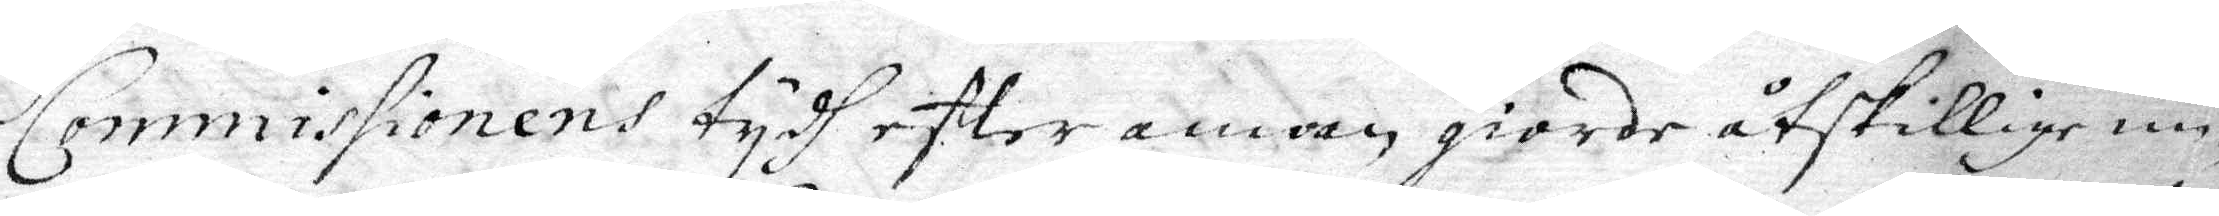Commissionens tydh efter annan giorde åtskillige un¬
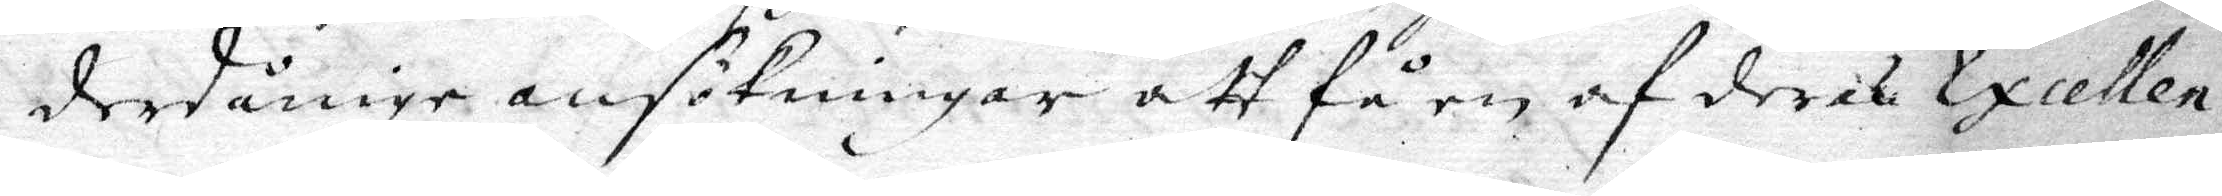derdånige ansökningar att få en af deras Exellen¬
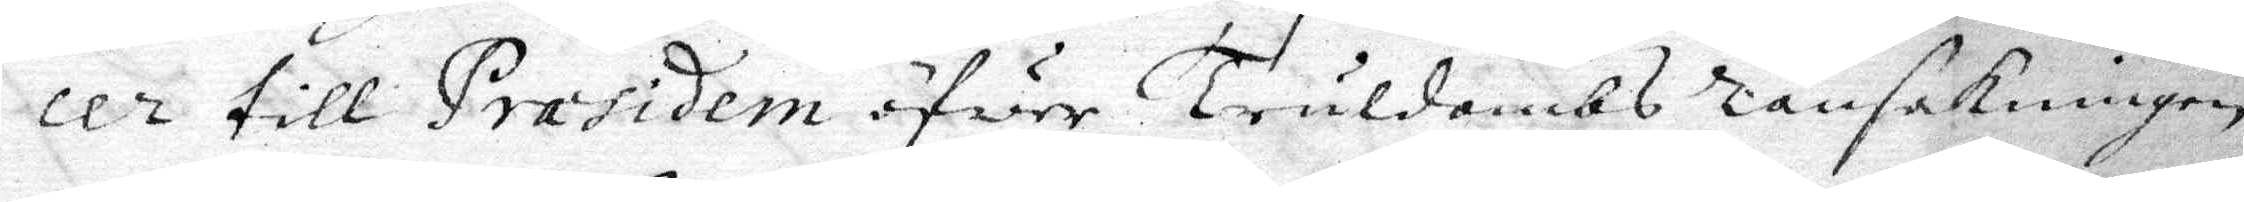cer till Præsidem ofwer Truldombs ransakningen
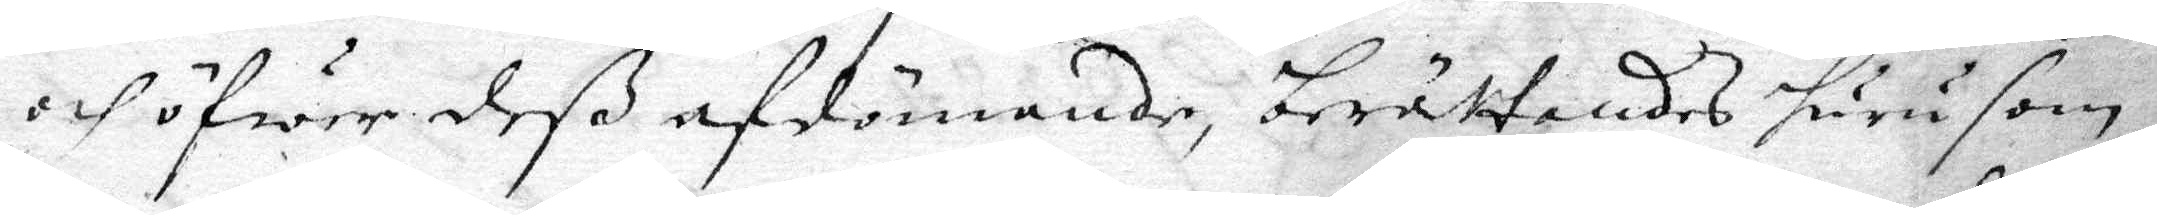och öfwer deß afdömande, berättandes huru som i
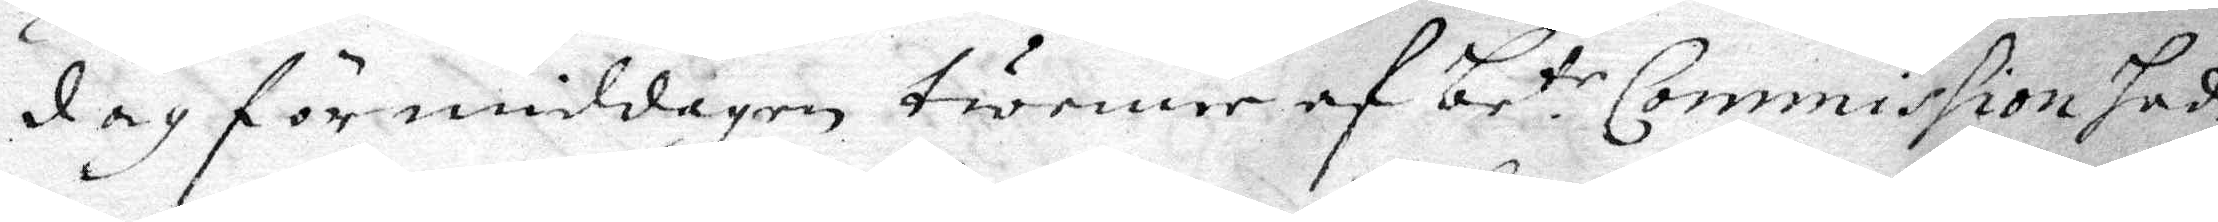dag förmiddagen twenne af be tr Commission hade
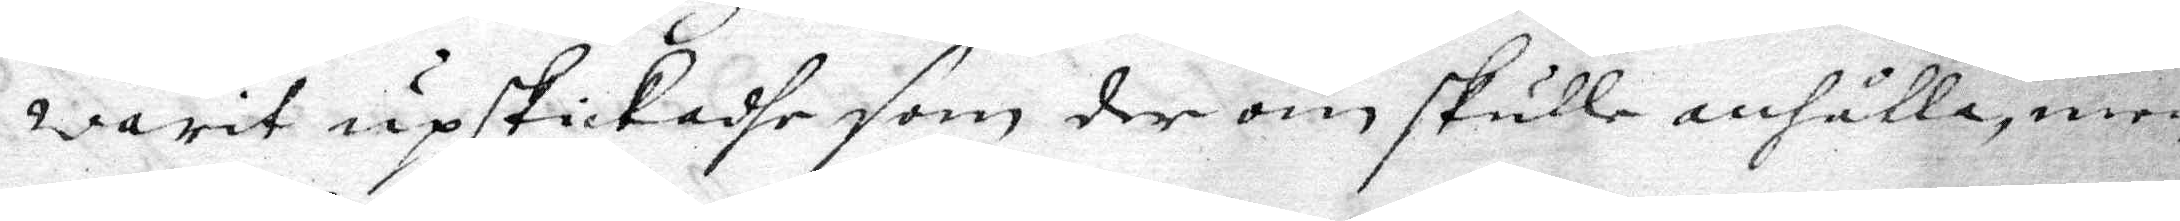warit upskickadhe som der om skulle anhålla, men
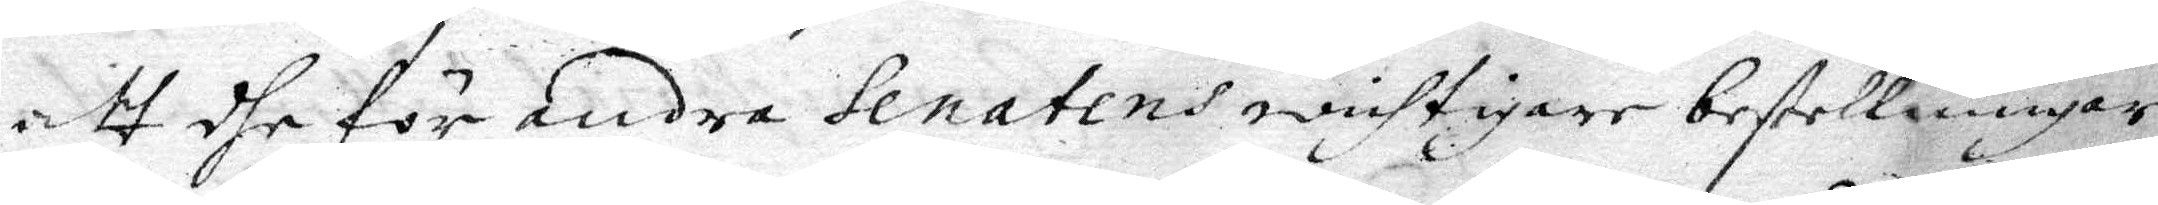att dhe för andra Senatens wichtigare bestellningar
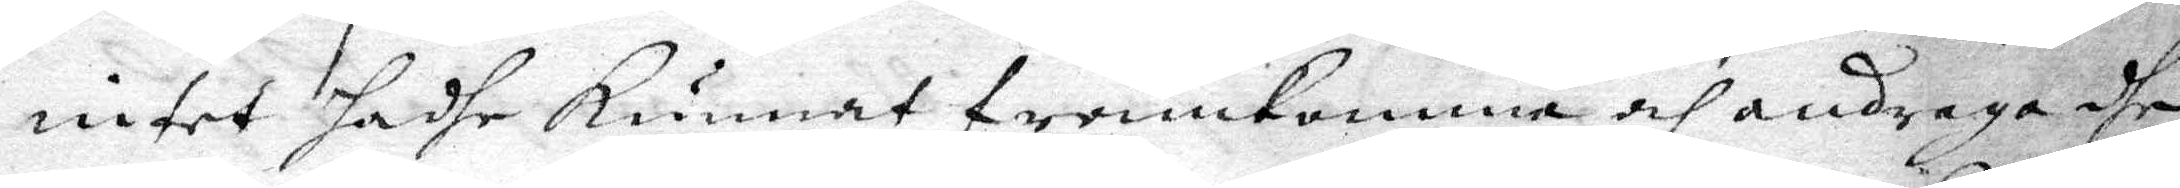intet hadhe Kunnat framkomma och andraga dhe
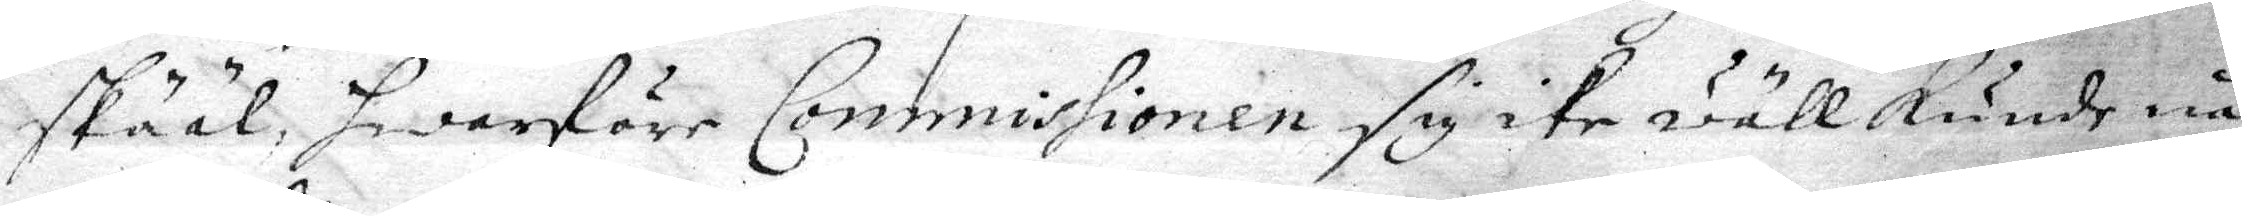skääl, hwarföre Commissionen sig ike wäll kunde nå¬
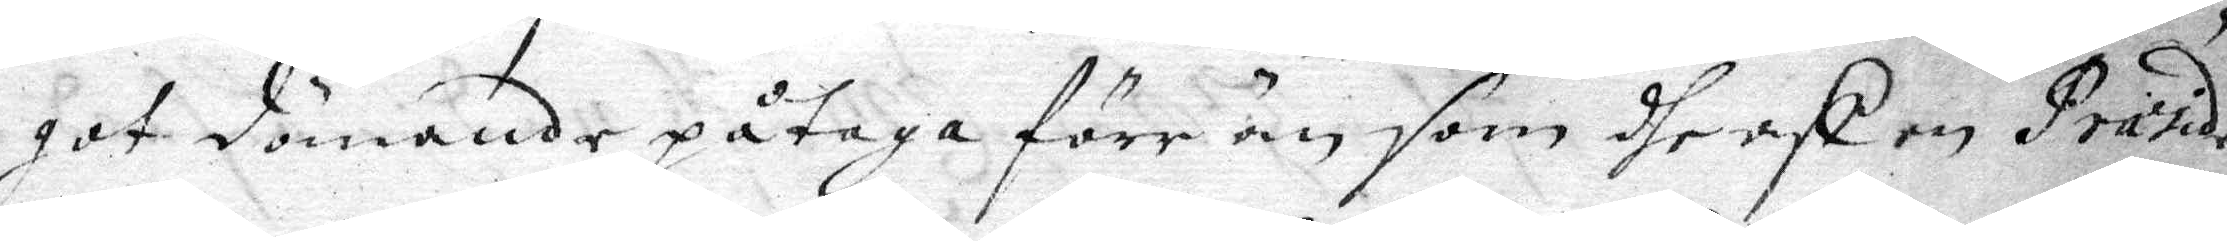got dömande påtaga förr än som dherst en Praside
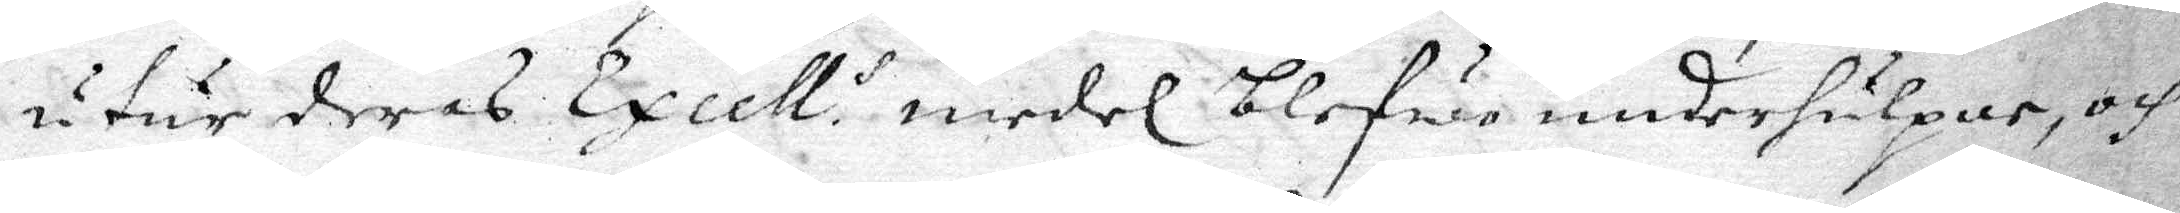uthur deras Excell. s medel blefwe underhulpne, och
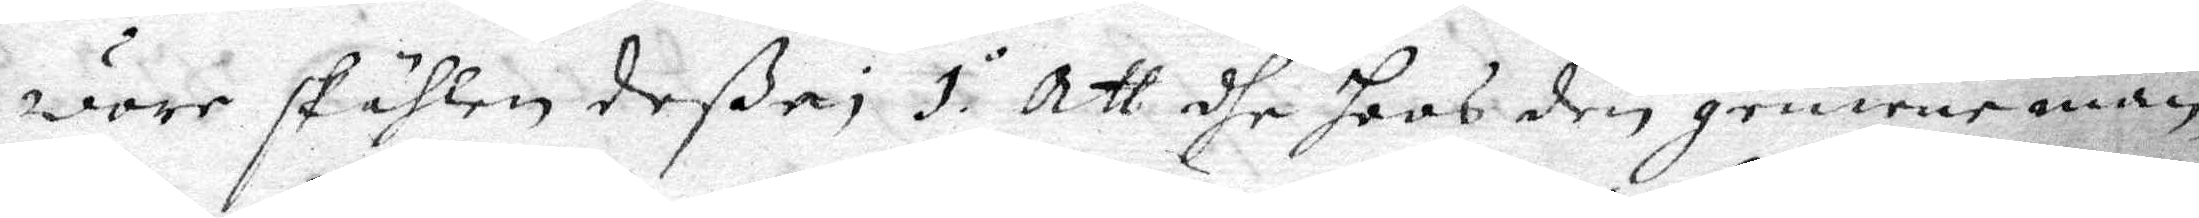wore skählen deße; 1.o Att dhe hoos den gemene man¬
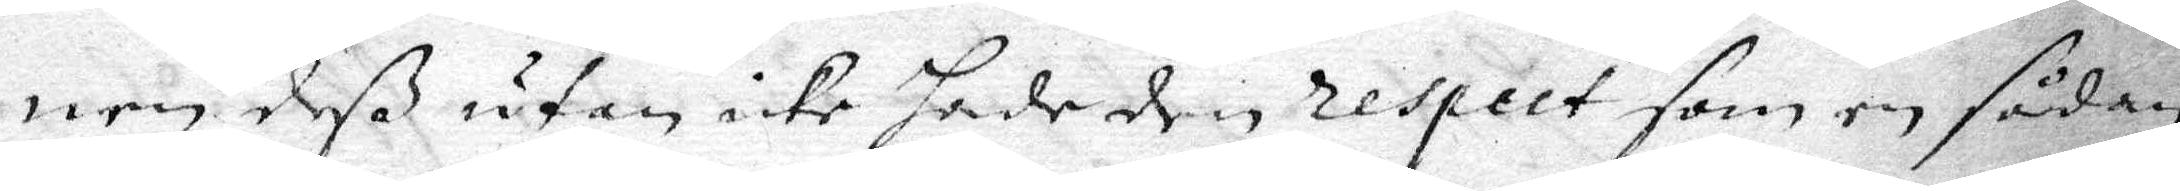nen deß utan icke hade den respect som en sådan
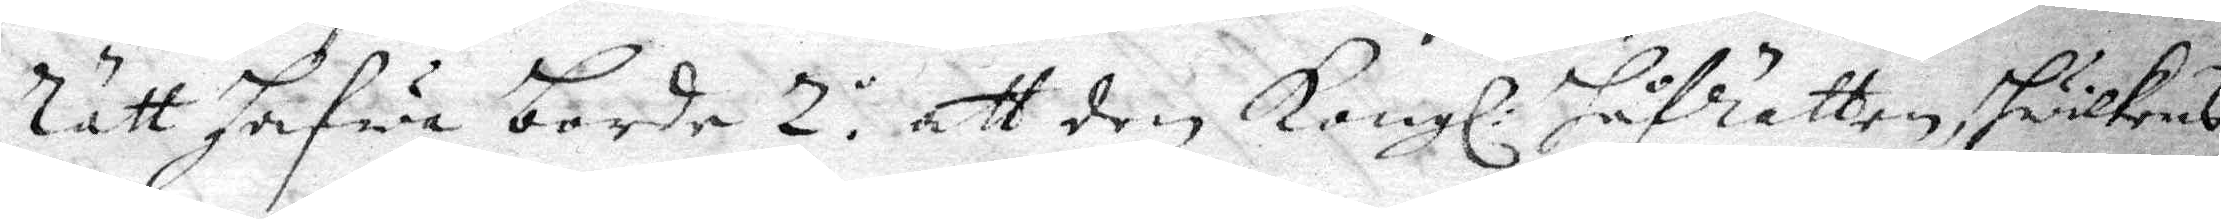rätt hafwa borde 2.o att den Kongl: Håfrätten hwilkens
